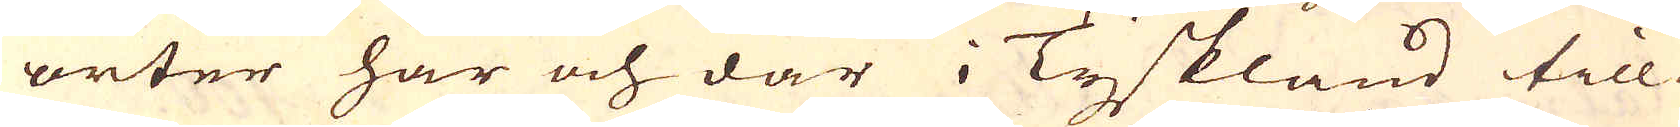orter här och där i Tyskland till
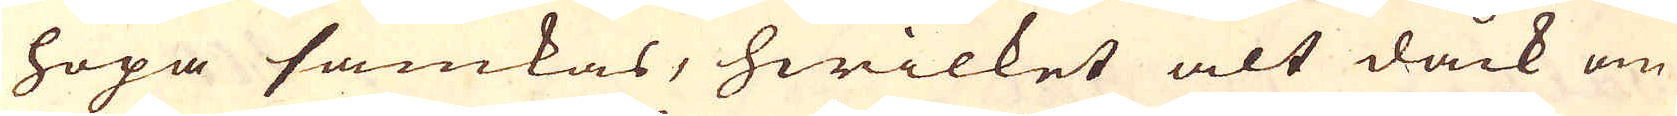hopa samkas, hwilket alt dåck om
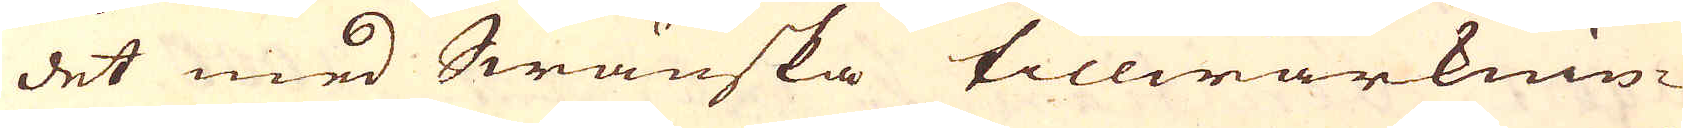det med Swänska tillwärknin-
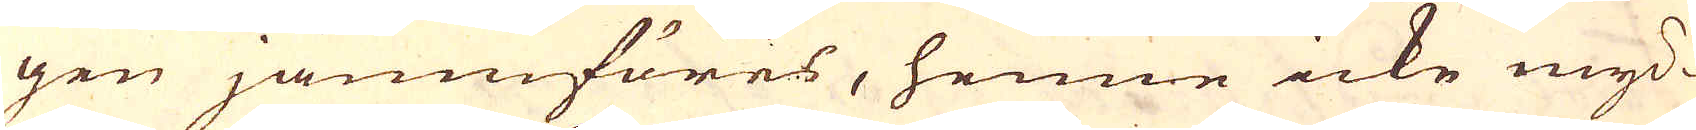gen jämnföres, henne icke myc-
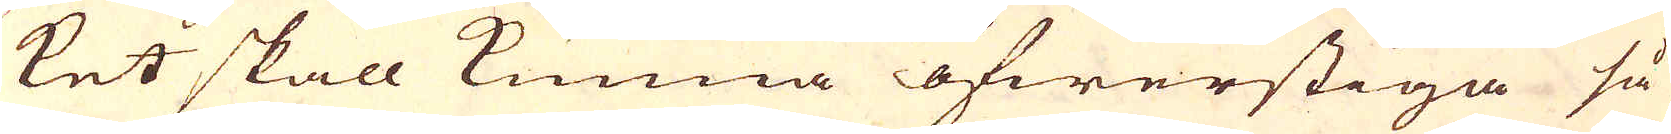ket skall kunna öfwerstiga så
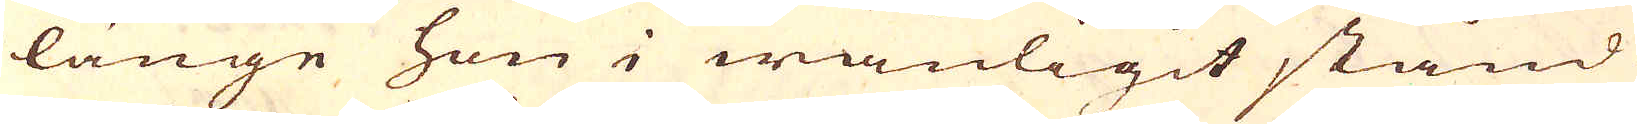länge hon i wanligit stånd
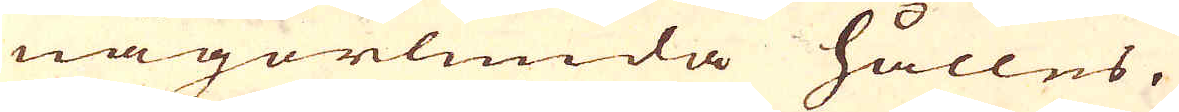någorlunda hålles.
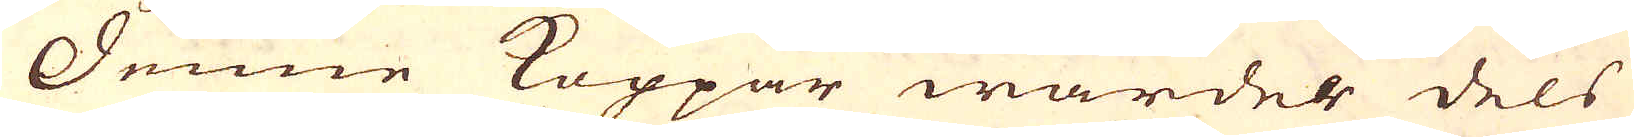Denne Koppar wardes dels
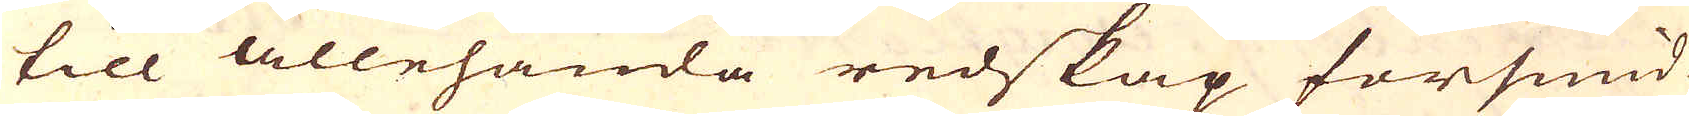till allehanda redskap försmid-
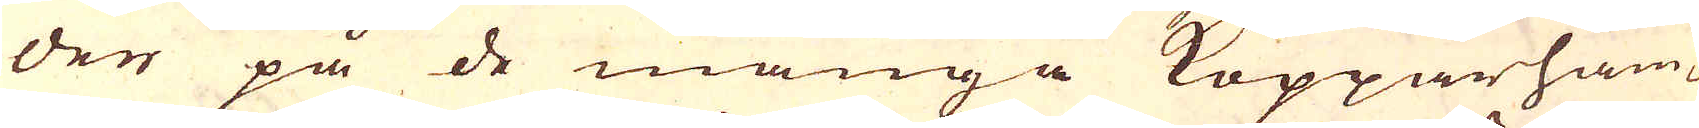der på de många Kopparham-
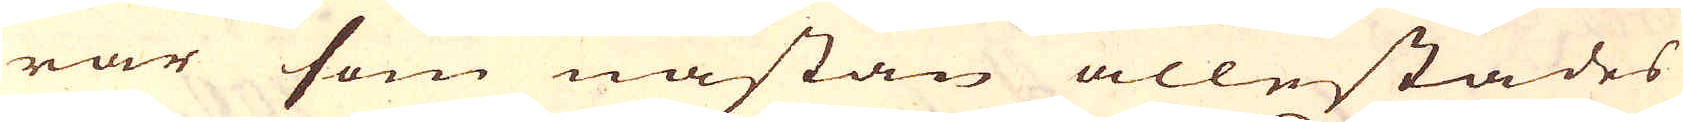rar som nästan allestädes
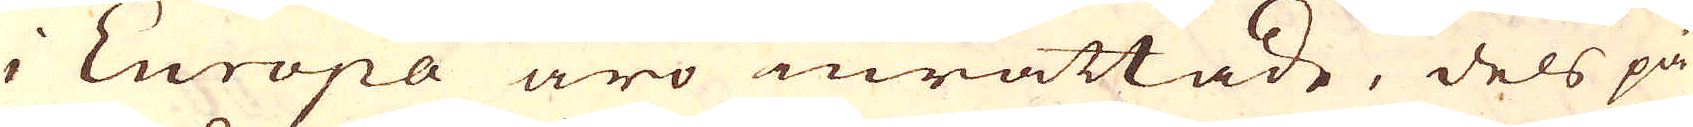i Europa äro inrättade, dels på
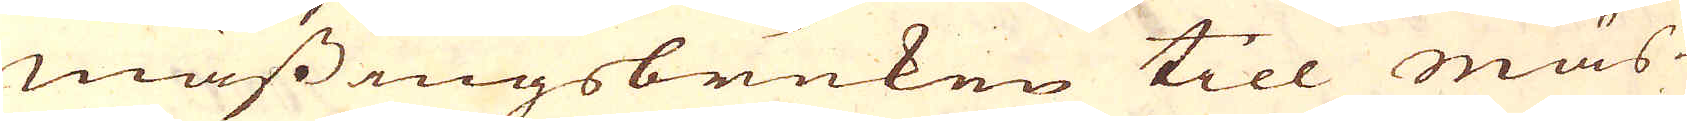mässingsbruken till mäs-
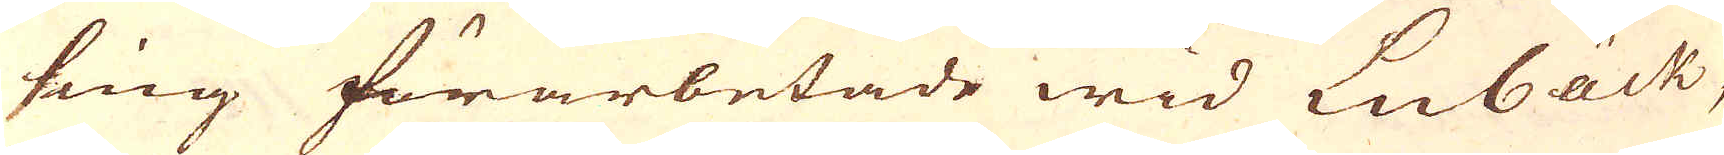sing förarbetade wid Lubäck,
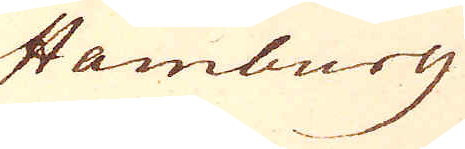Hamburg
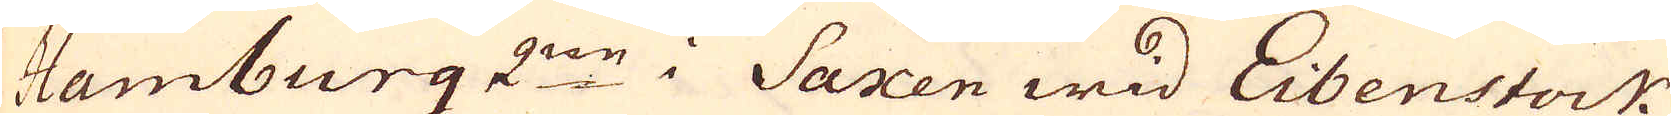Hamburg 2:ne i Saxen wid Eibenstock
